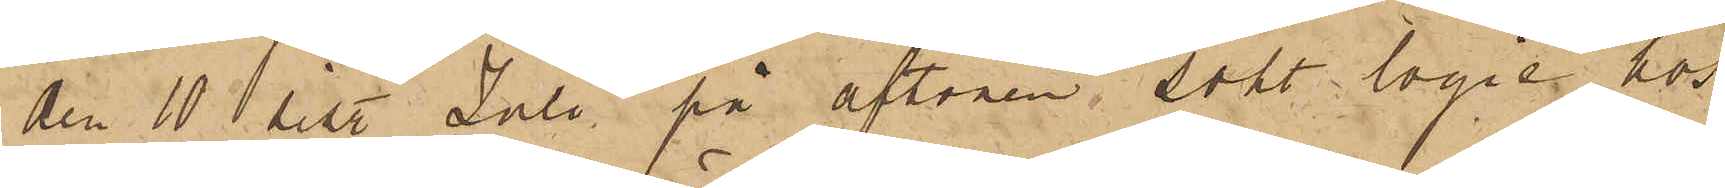den 10 sist. Juli på aftonen sökt logie hos
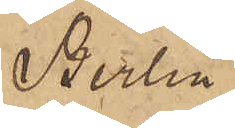Berlin
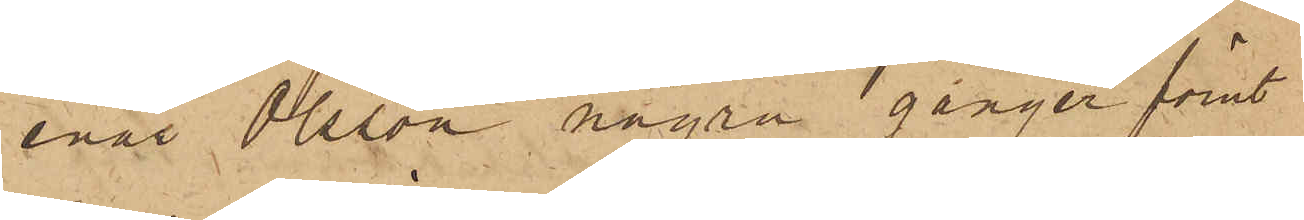enär Olsson några gånger förut
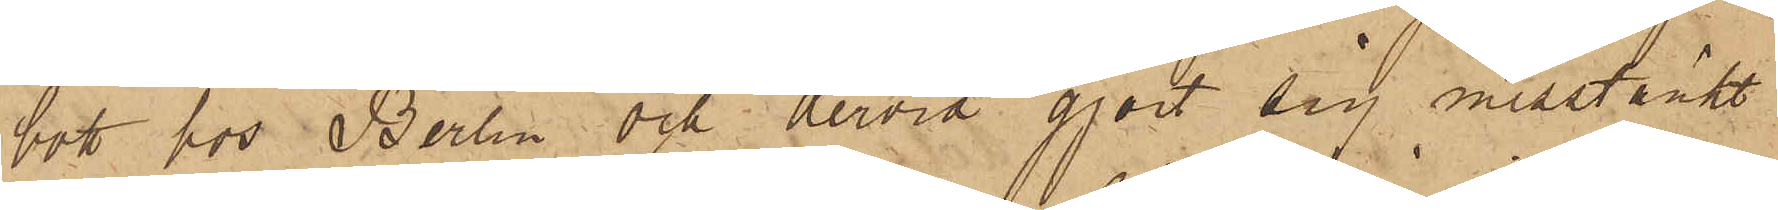bott hos Berlin och dervid gjort sig misstänkt
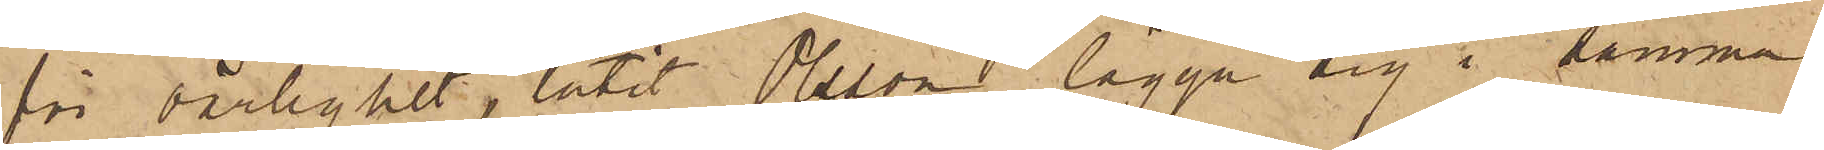för oärlighet, låtit Olsson lägga sig i samma
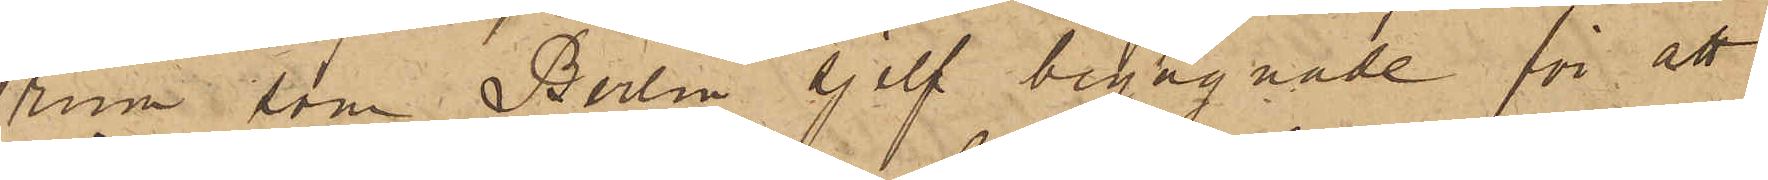rum som Berlin sjelf begagnade för att
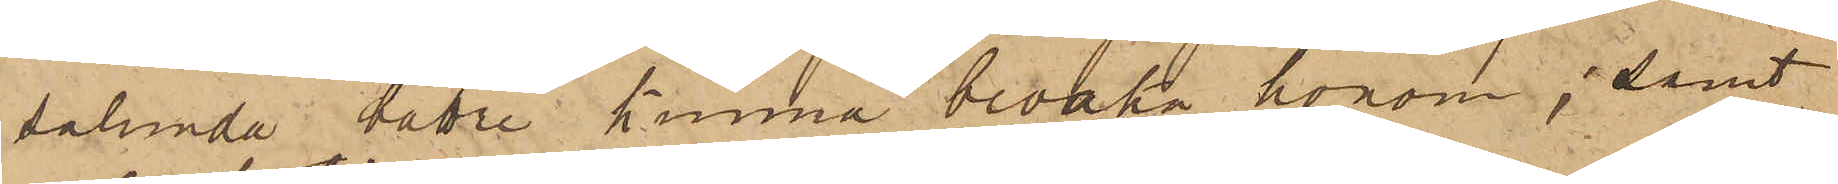sålunda bättre kunna bevaka honom; samt
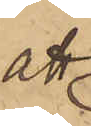att
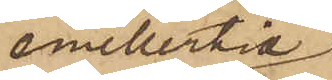emellertid
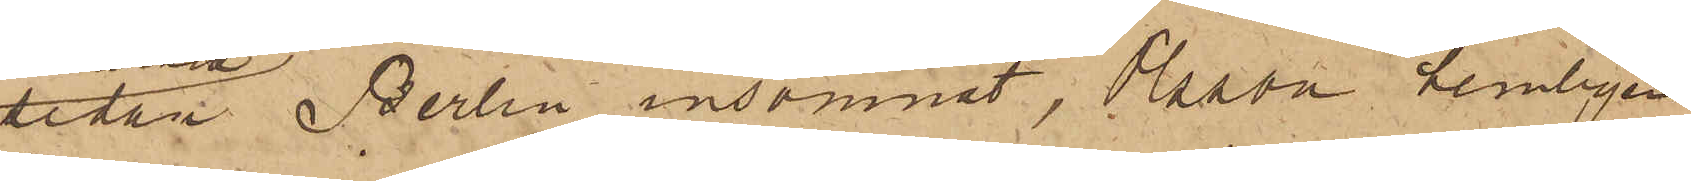sedan Berlin insomnat, Olsson hemligen
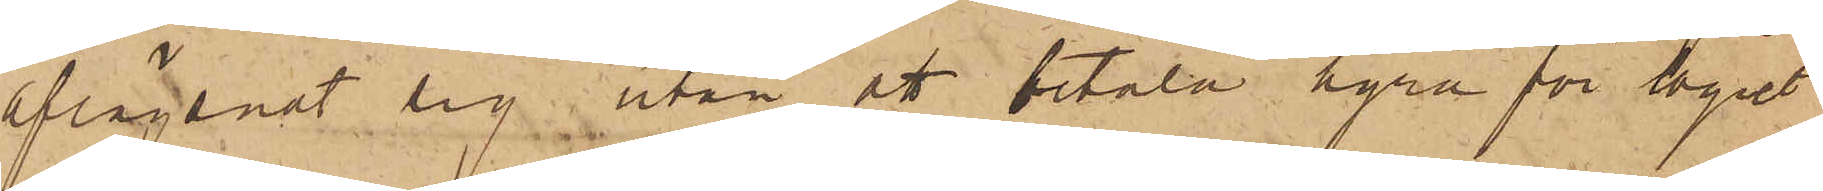aflägsnat sig utan att betala hyra för logiet
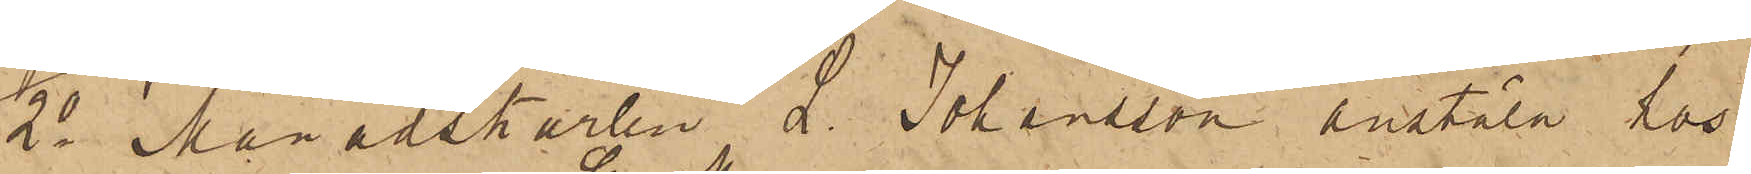2o Månadskarlen L. Johansson anstäld hos
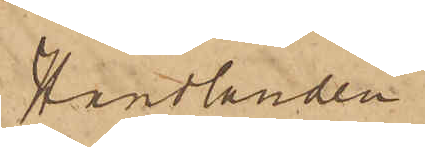handlanden
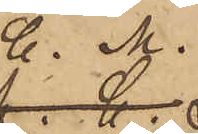C. M.
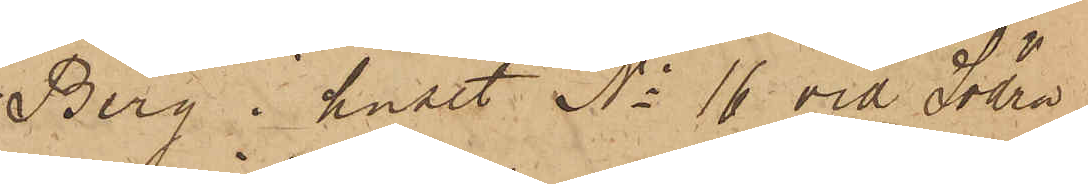Berg i huset No 16 vid Södra
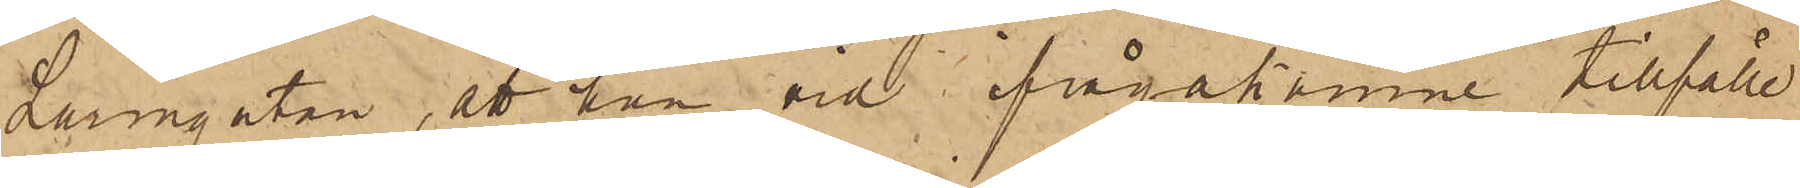Larmgatan, att han vid ifrågakomne tillfälle
